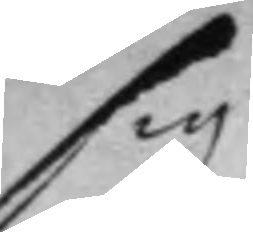sig
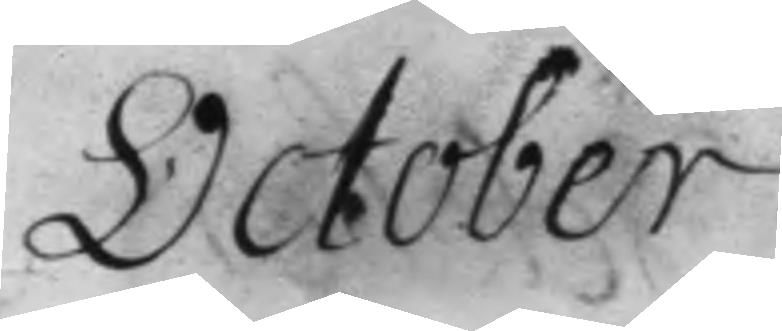October.
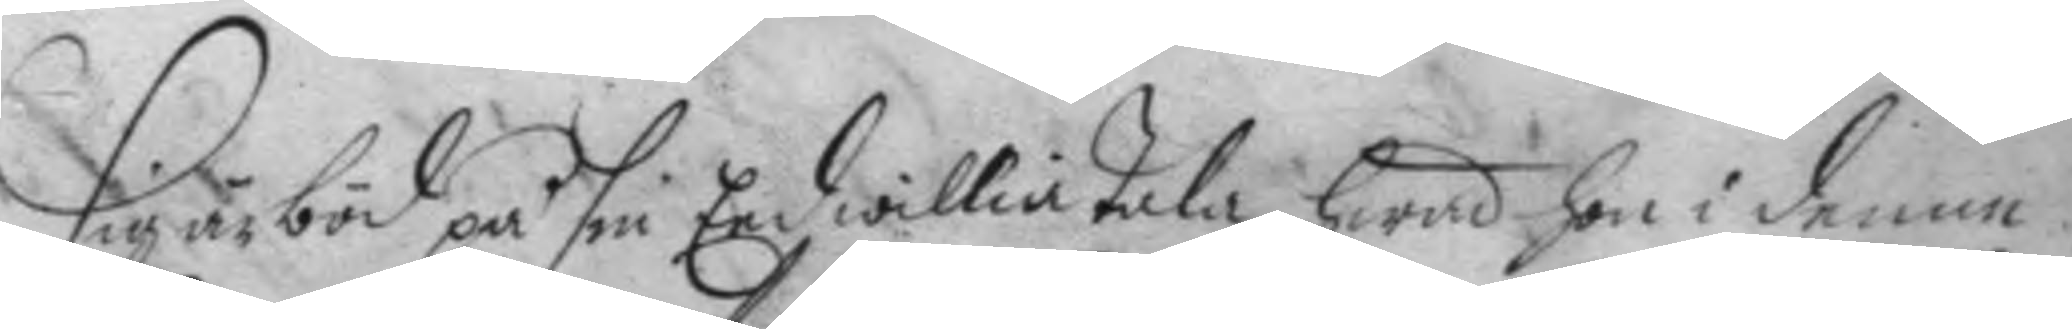Sig är böd på sin Eed willia tala hwad hon i denne
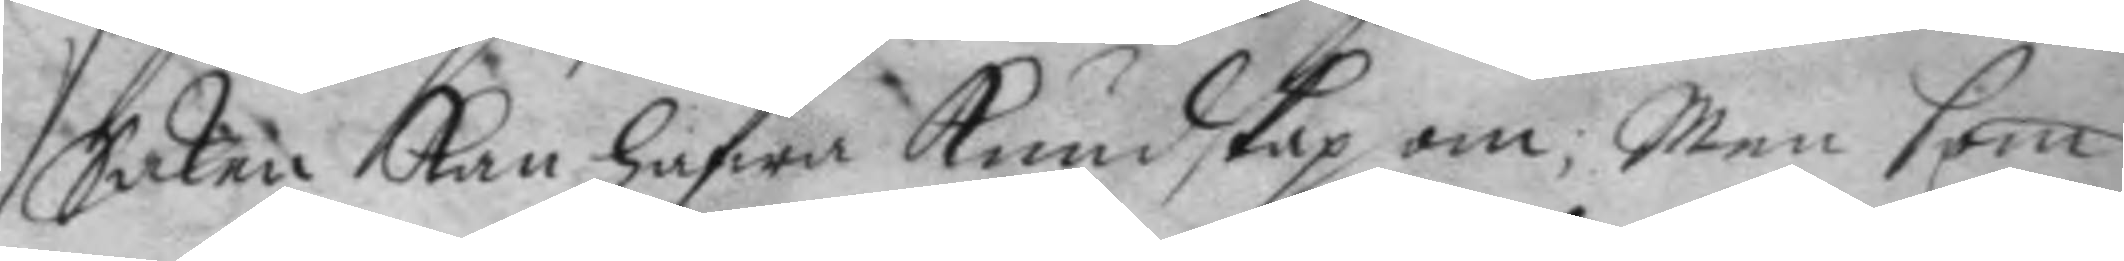Saken kan hafwa Kundskap om; Men som
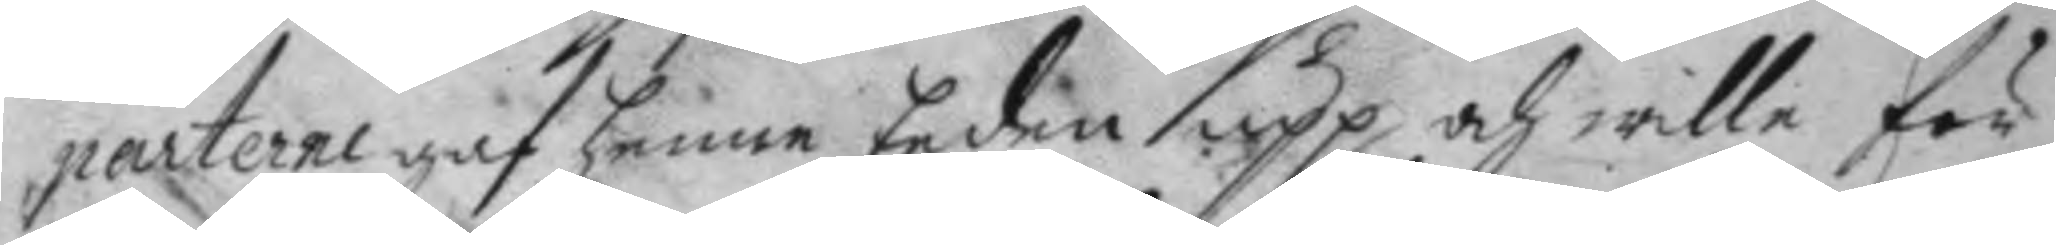parterne gaf henne Eeden upp och wille för
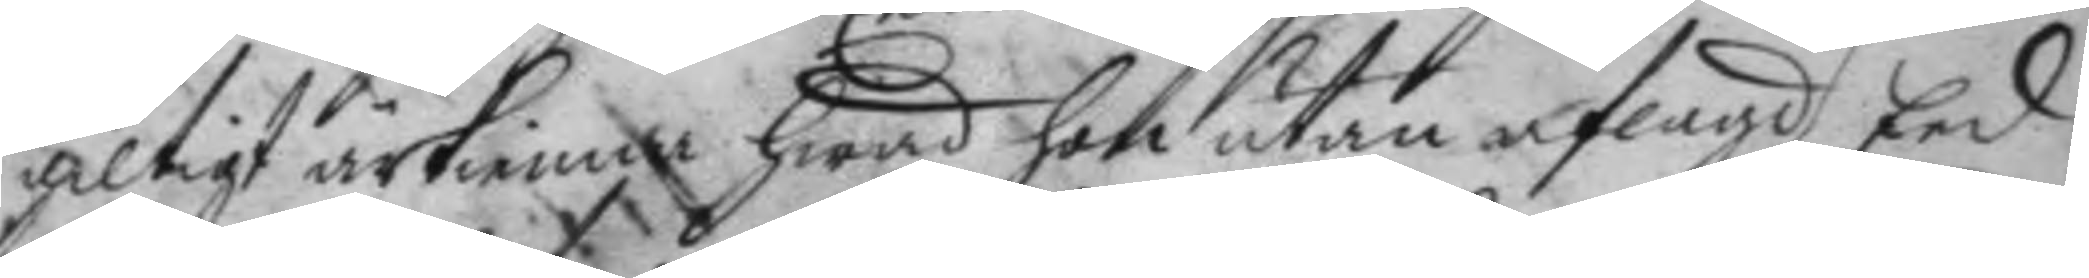giltigt ärkienna hwad hon utan aflagd Eed
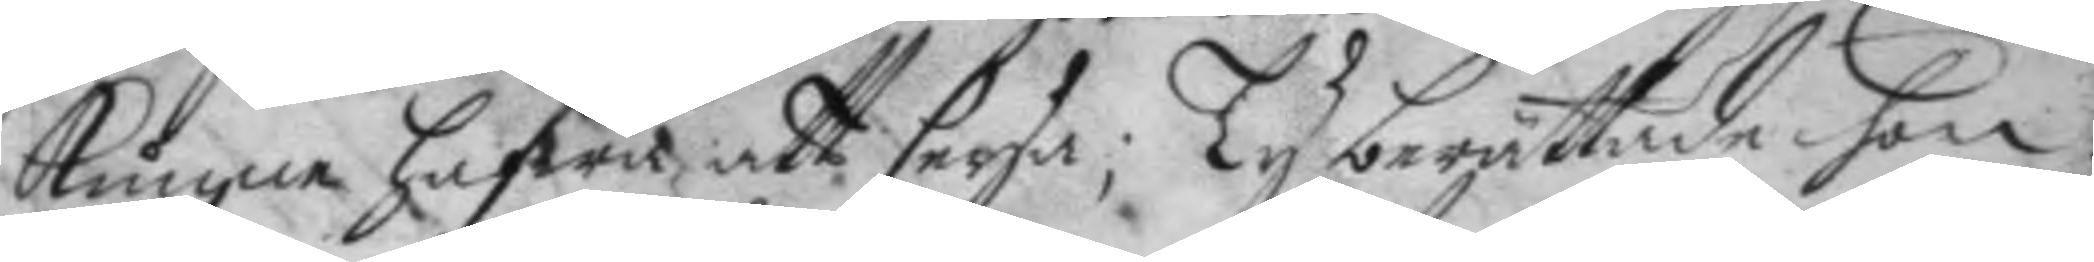kunna hafwa, att seya; Ty berättade hon
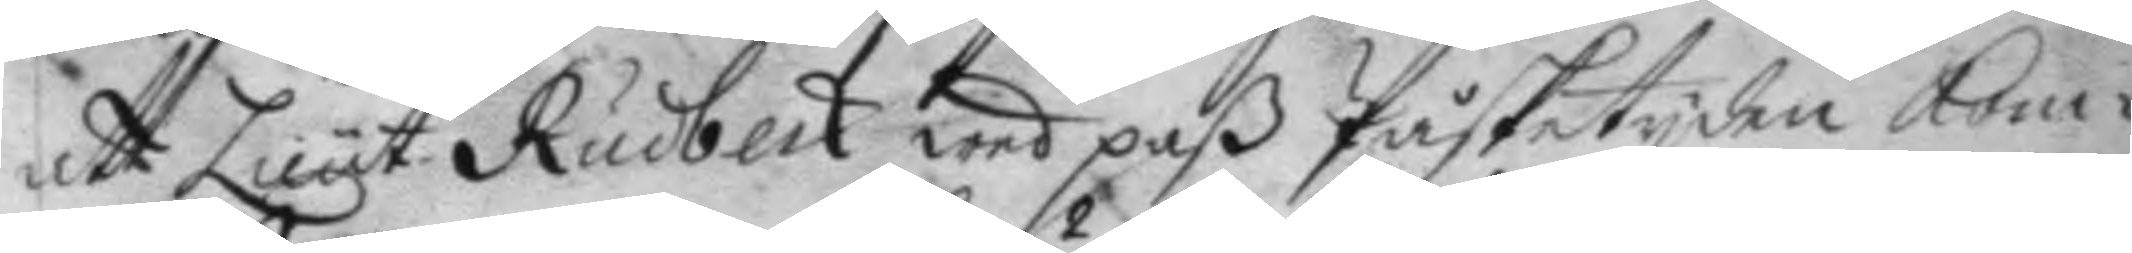att Lieut. Rudbeck wed paß Påsketyden kom¬
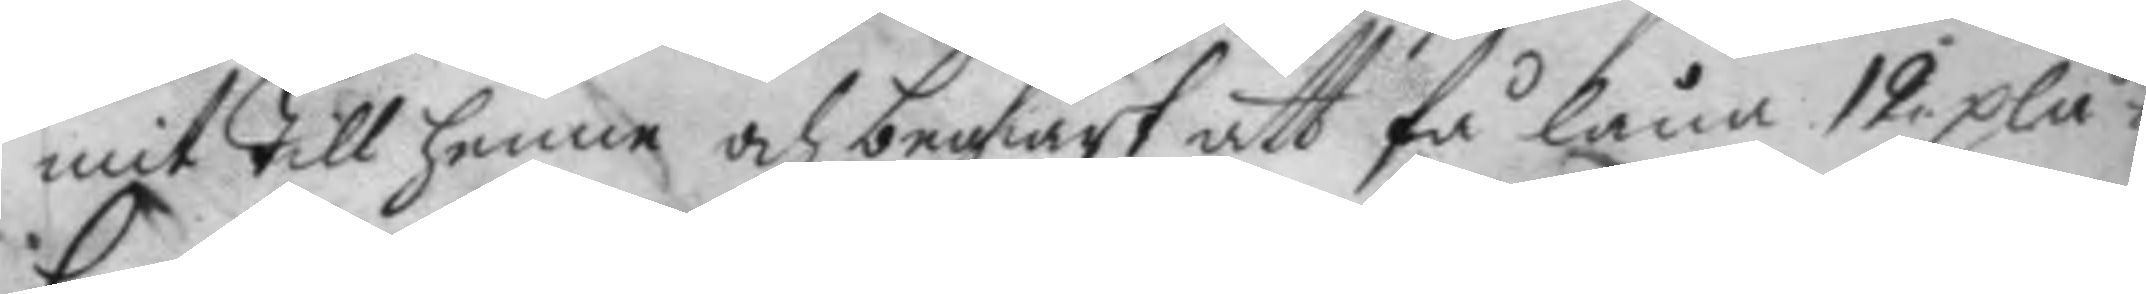mit till henne och begiärt att få låna 12 plå¬
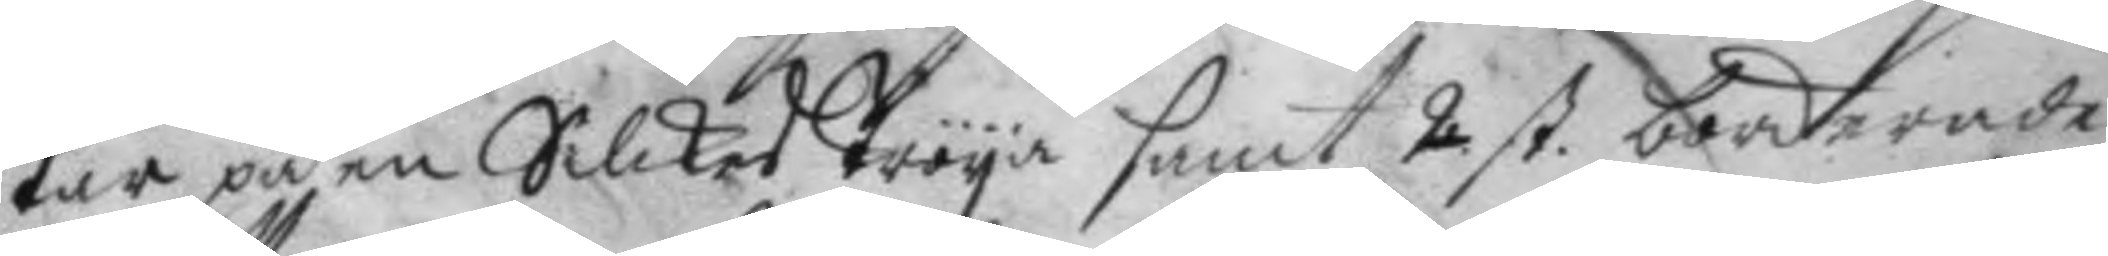tar på en Silckes tröya hant 2 st. borderade 
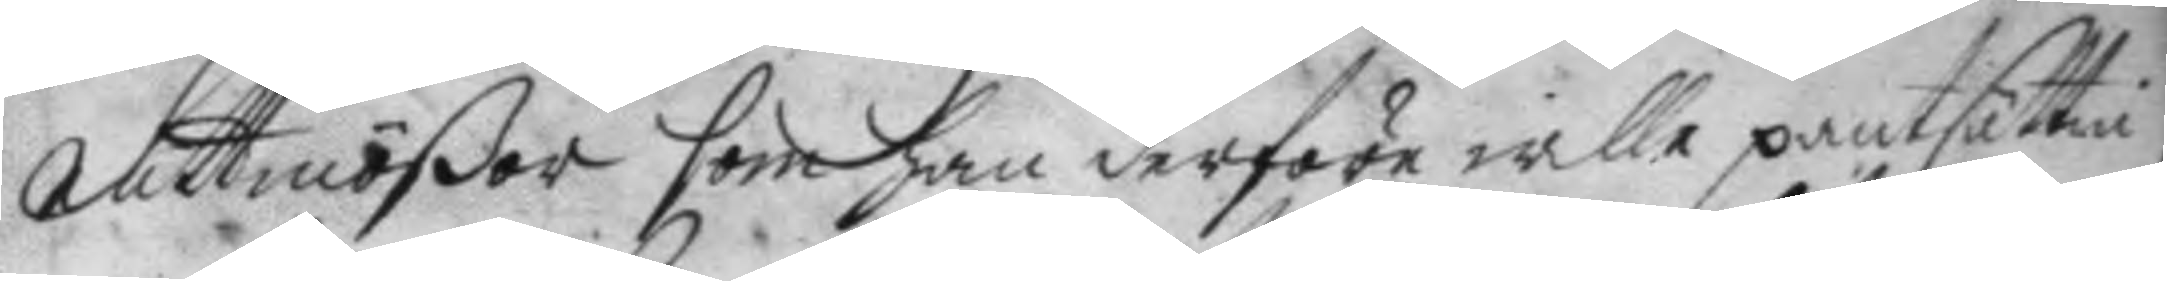nattmößor som han derföre wille pantsättia
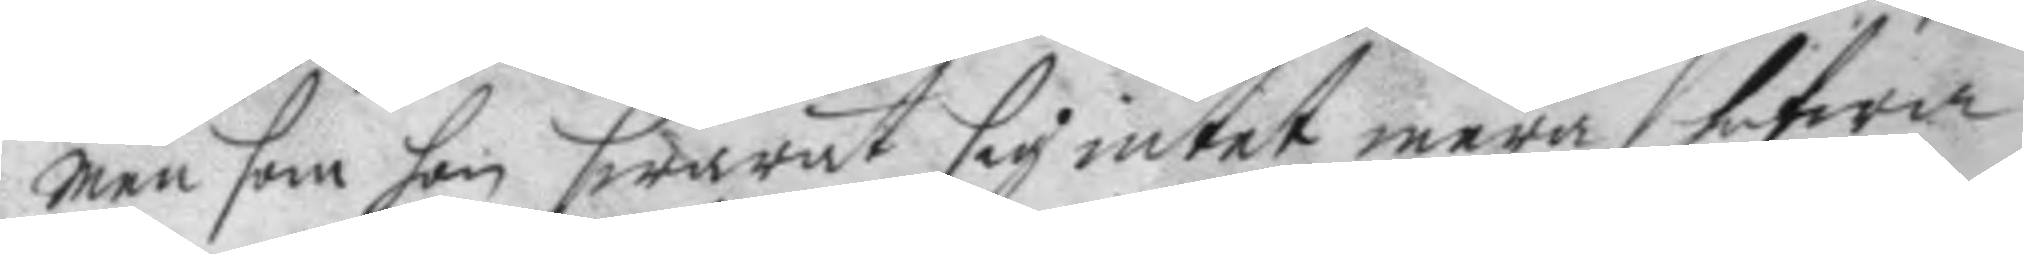men som hon swarat sig intet mera hafwa
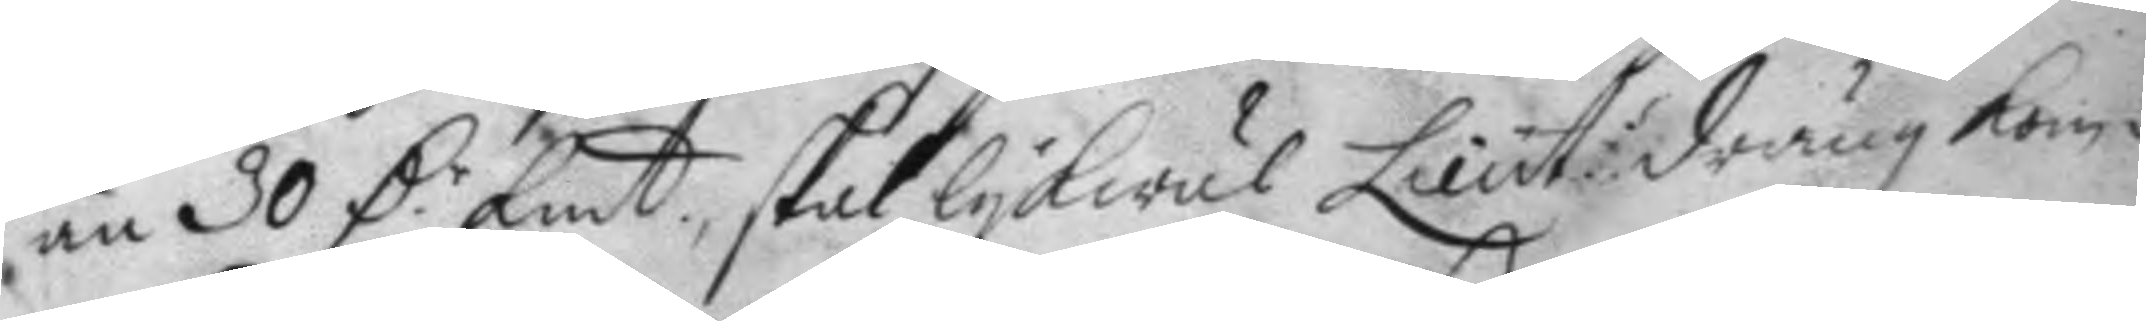än 30 D.r kmt skal lykwäl Lieut:s dräng kom¬ 
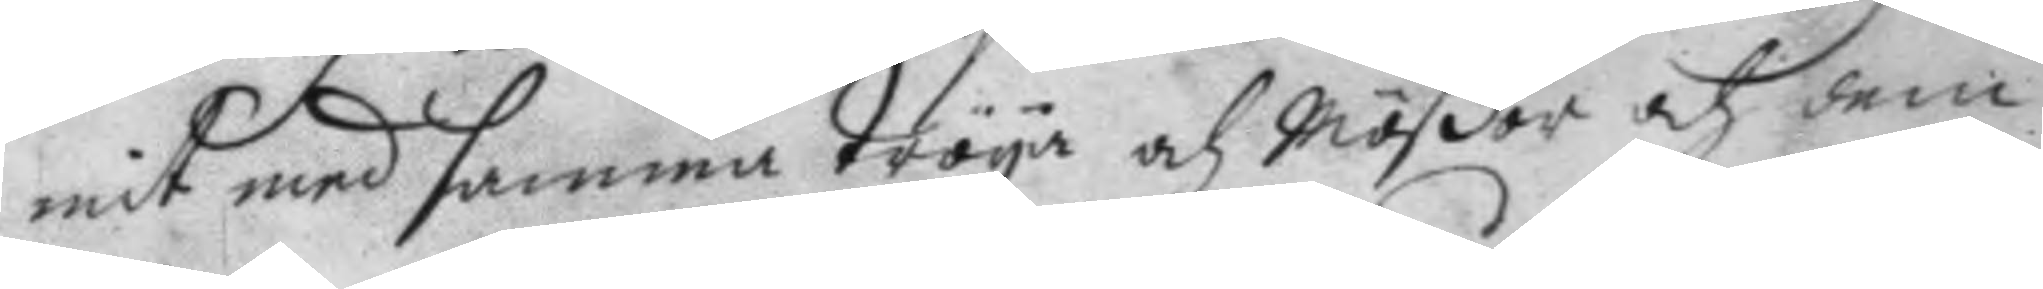mit med samma tröya och Mößor och dem¬
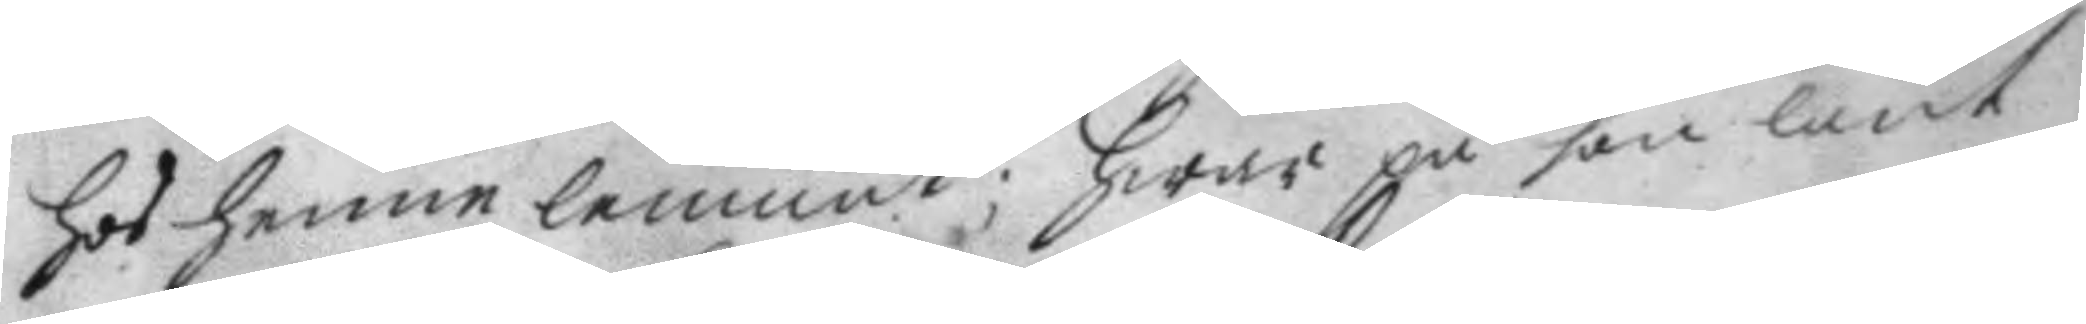hos henne lemnat; hwar på hon lånt
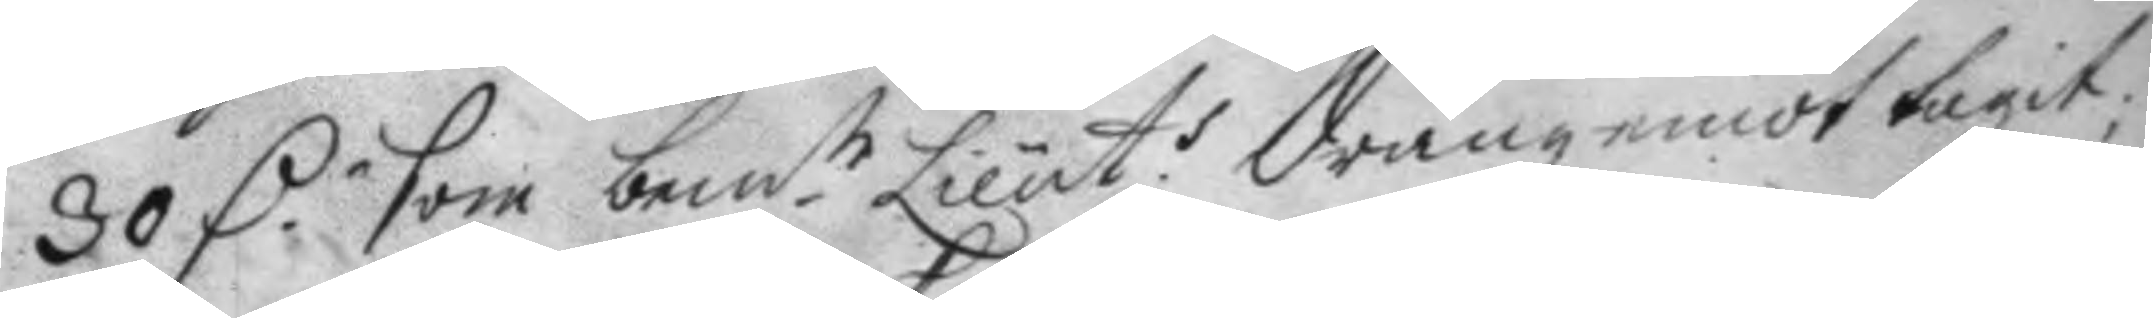30 D.r som bem.te Lieut.s dräng emot tagit; 
